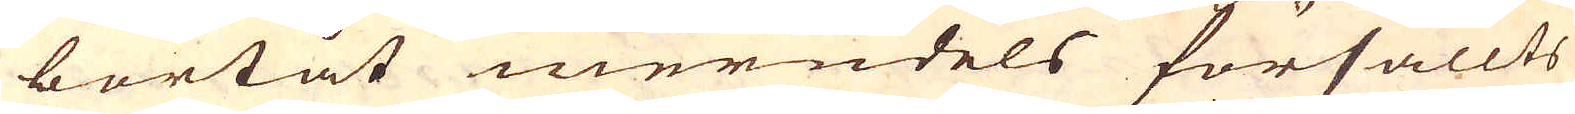bortåt merndels försållts
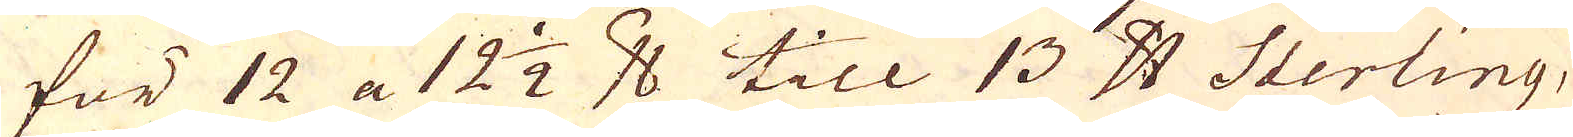för 12 a 12 1/2 pund till 13 pund Sterling,
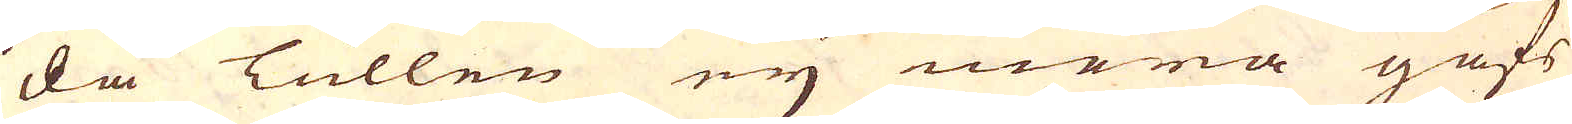då Tullen ey mera gafs
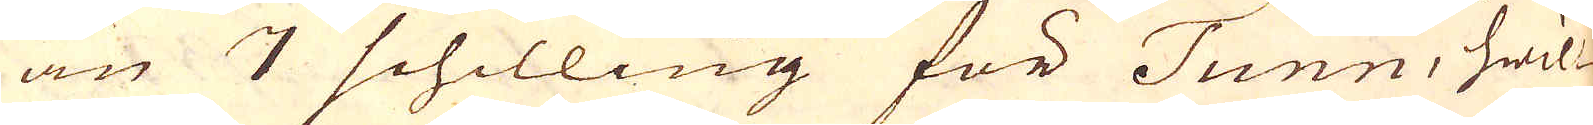än 7 schilling för Tunn, hwil-
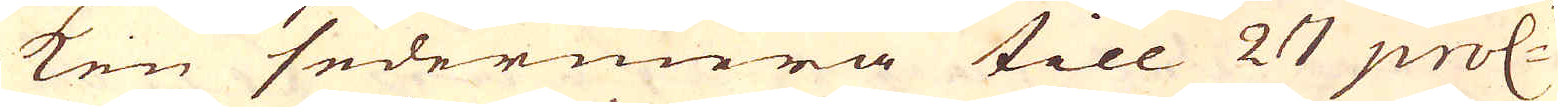ken sedermera till 27 proc:t
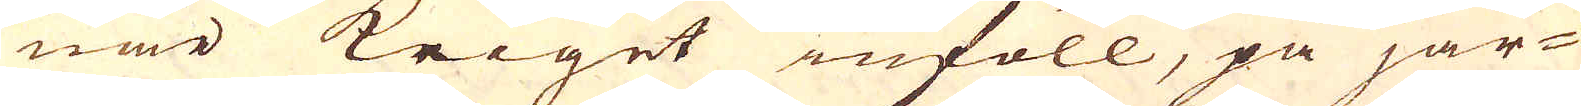när Kriget inföll, på jär-
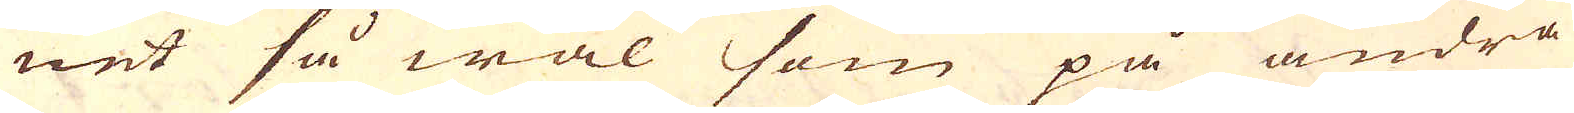net så wäl som på andra
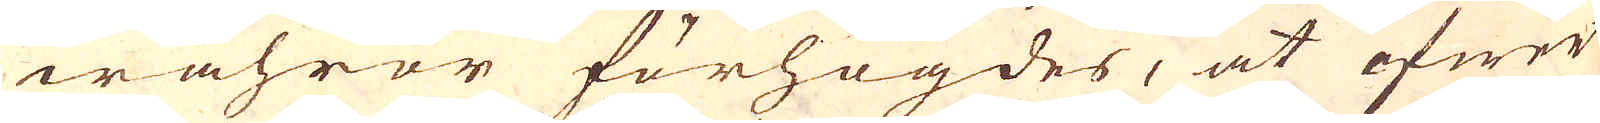wahror förhögdes, at öfwer
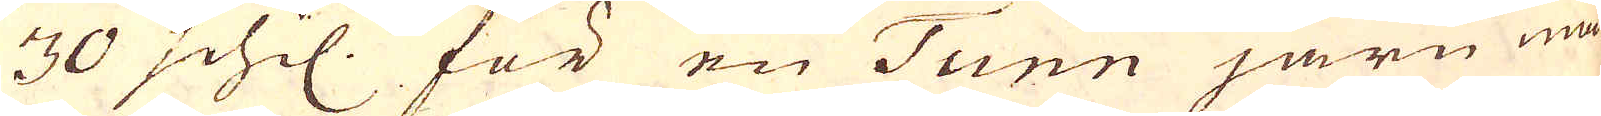30 schil. för en Tunn järn må-
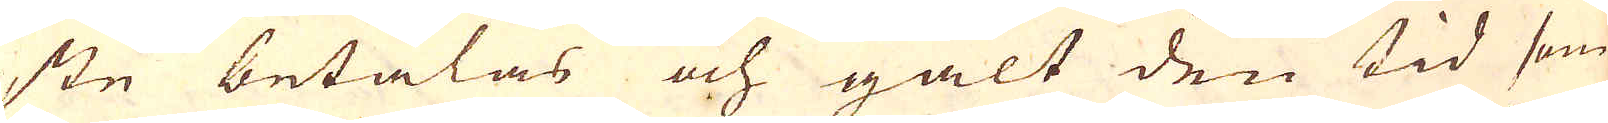ste betalas och galt den tid som
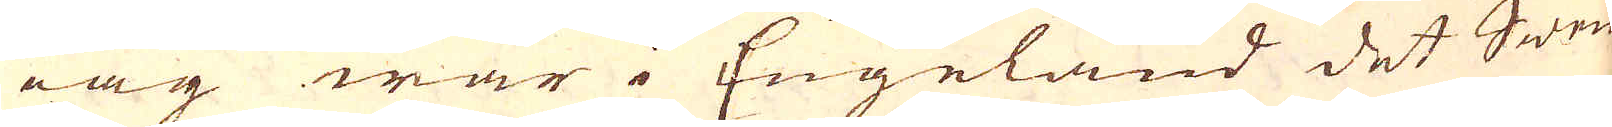iag war i Engeland det Swen-
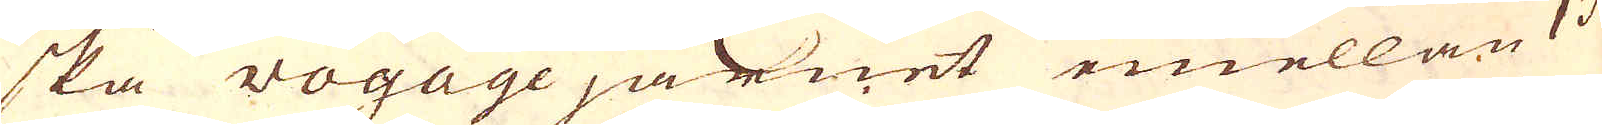ska Vogagejärnet emellan 13
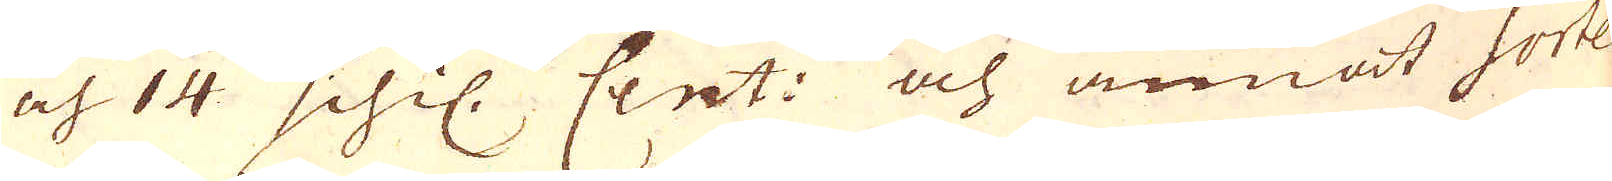och 14 schil. Cent: och annat Sorte-
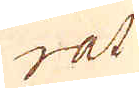rat
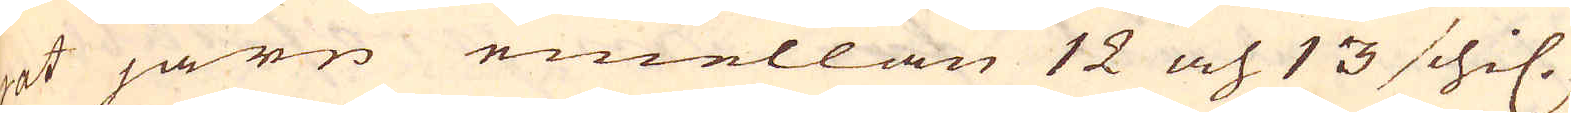rat järn emellan 12 och 13 schil.
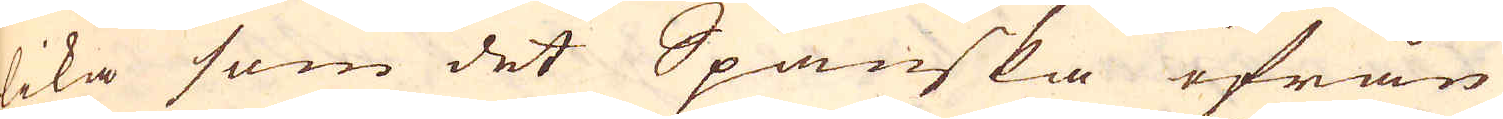lika som det Spanska ifrån
